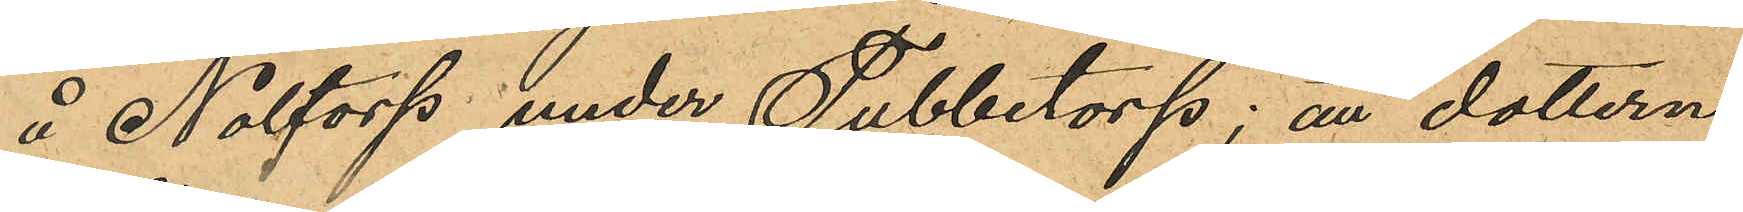å Noltorp under Tubbetorp; att dottern
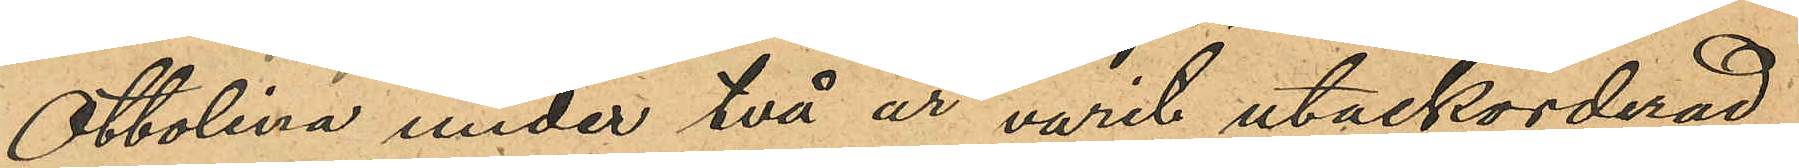Ottolina under två år varit utackorderad
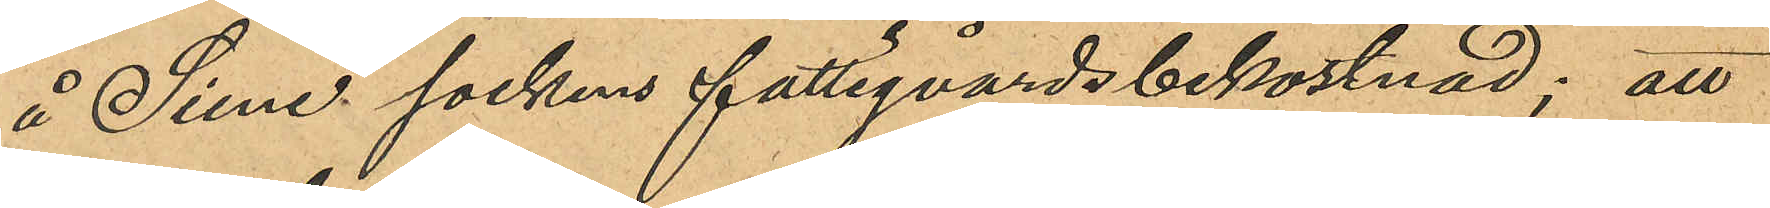å Siene sockens fattigvårdsbekostnad; att
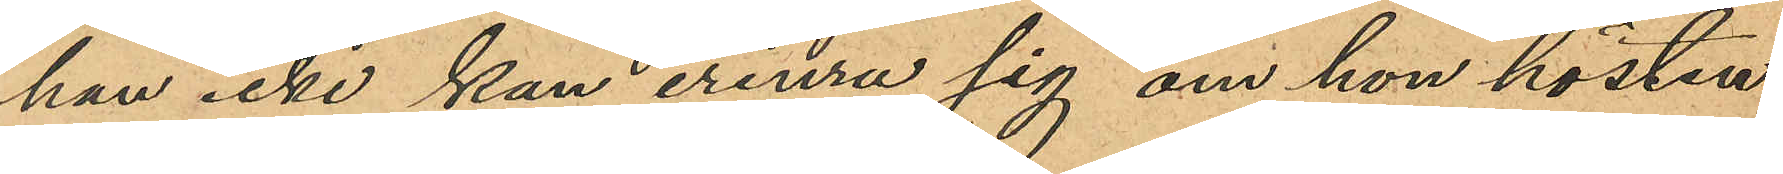hon icke kan erinra sig om hon hösten
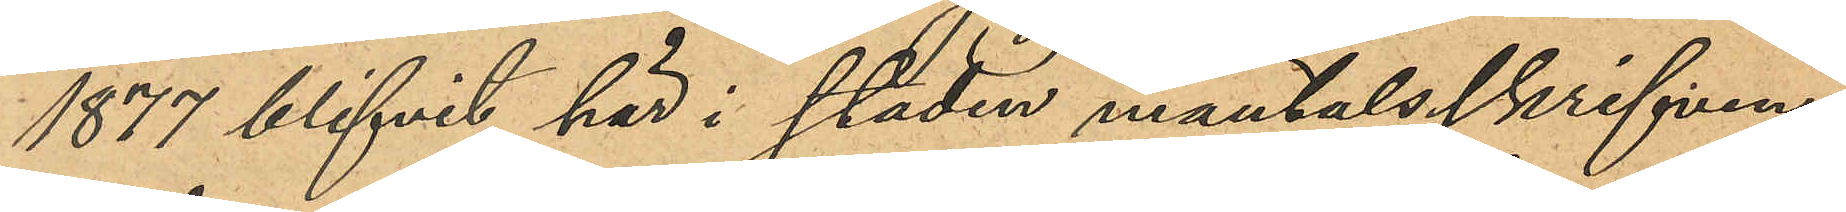1877 blifvit här i staden mantalsskrifven;
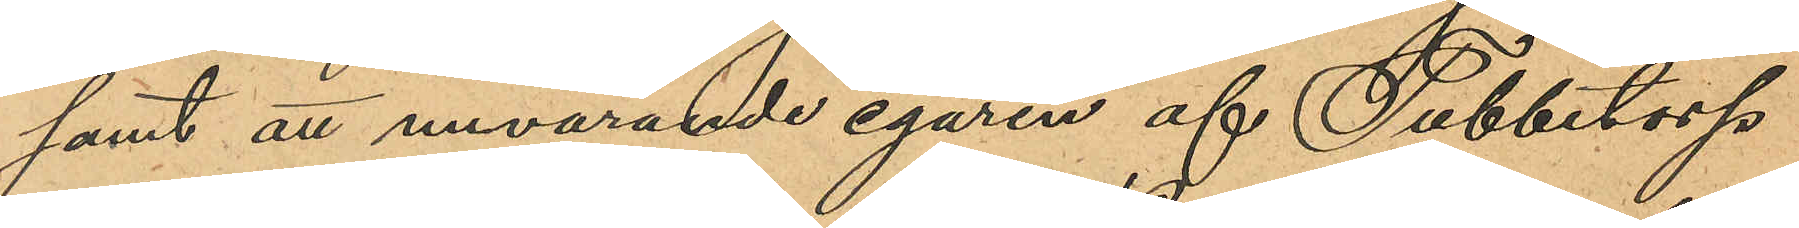samt att nuvarande egaren af Tubbetorp
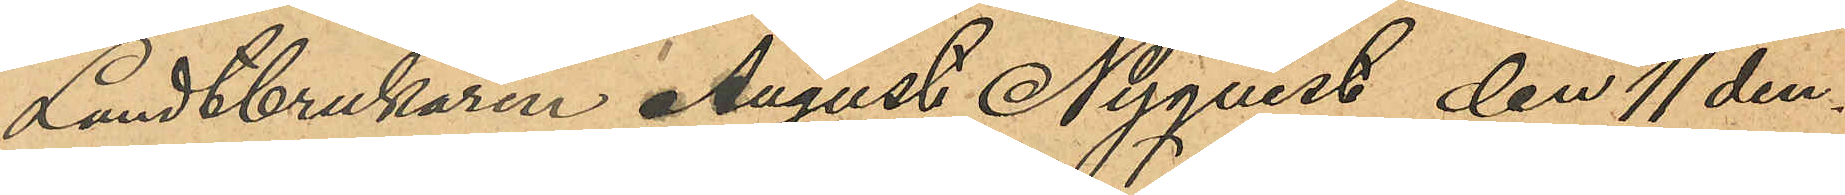Landtbrukaren August Nyqvist den 11 den¬
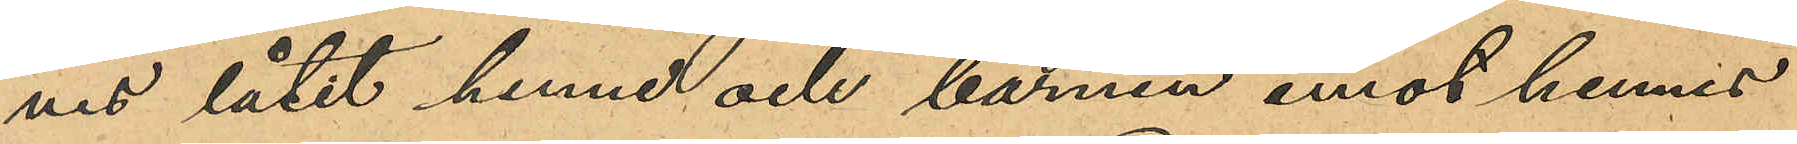nes låtit henne och barnen emot hennes
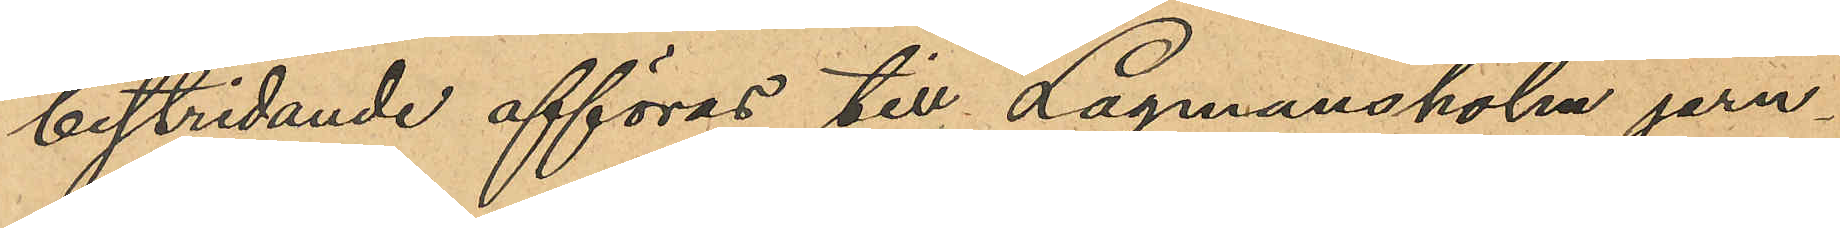bestridande afföras till Lagmansholm jern¬
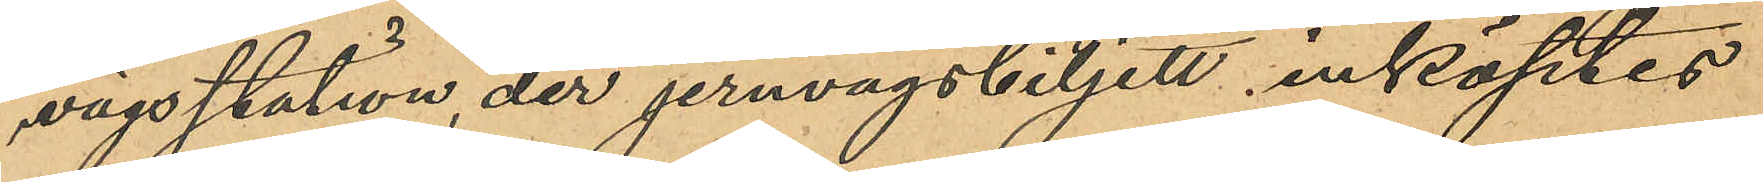vägsstation, der jernvägsbiljett inköptes
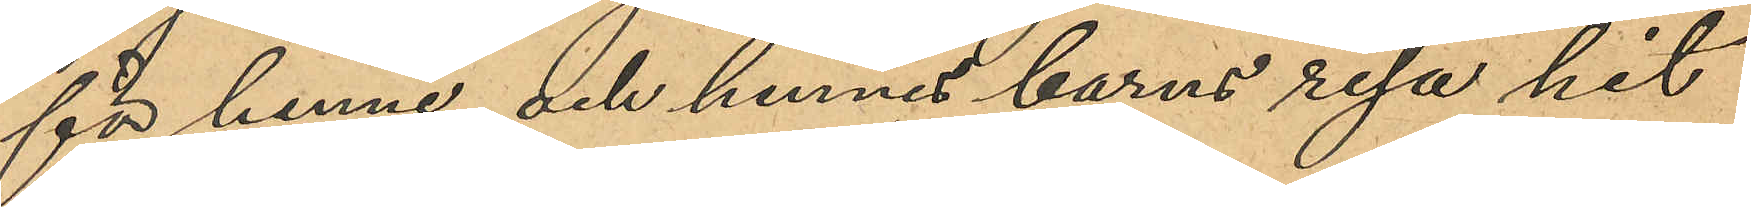för henne och hennes barns resa hit
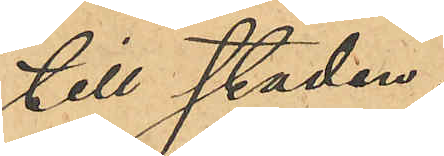till staden.
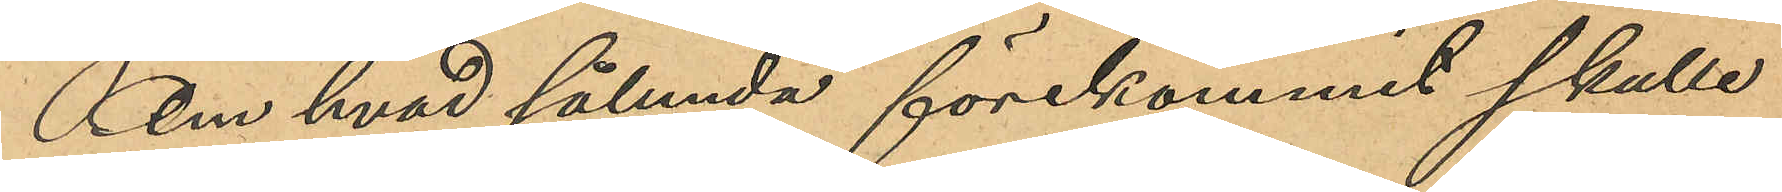Om hvad sålunda förekommit skulle
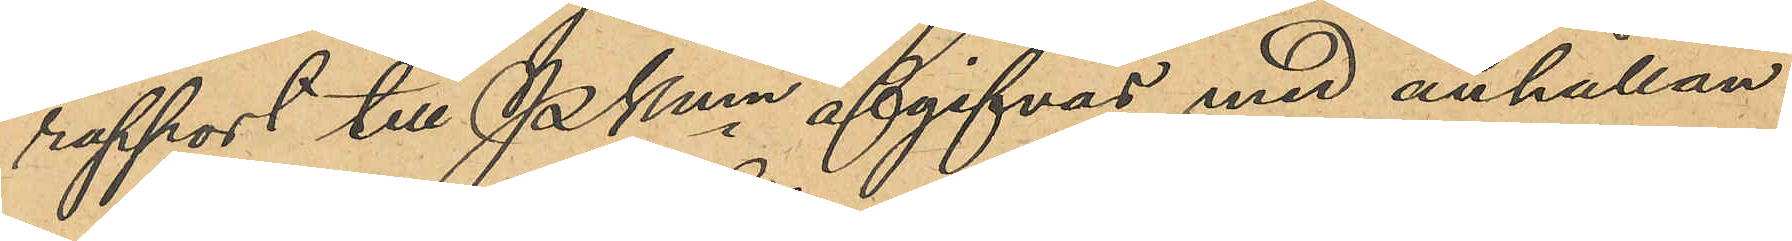rapport till Pkmn afgifvas med anhållan
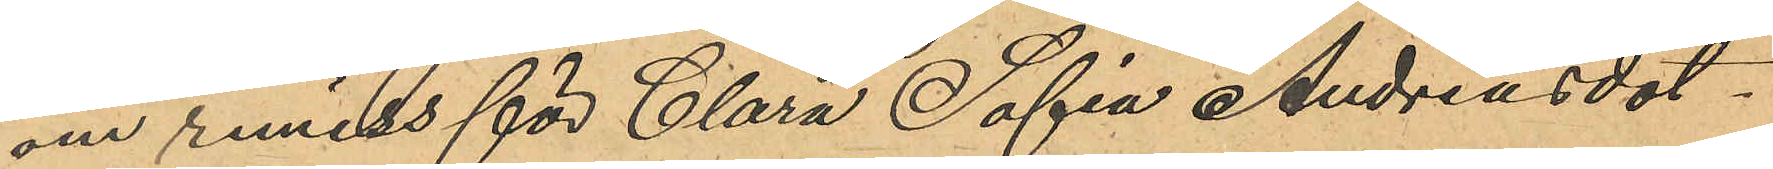om remiss för Clara Sofia Andreasdot¬
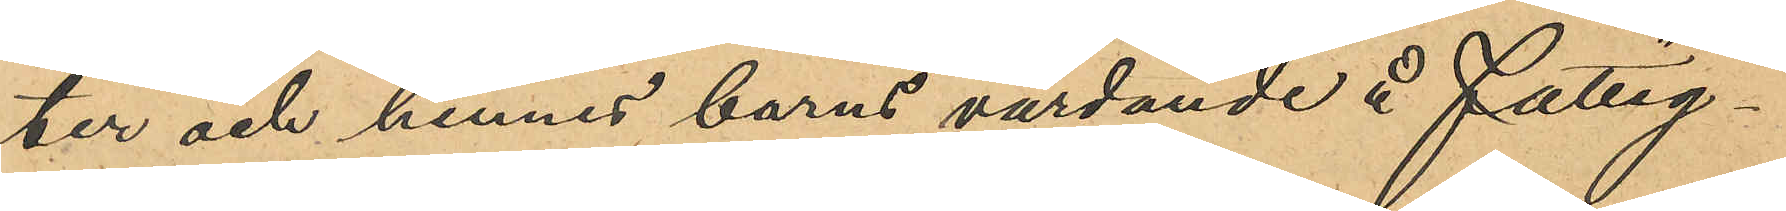ter och hennes barns vårdande å Fattg¬
